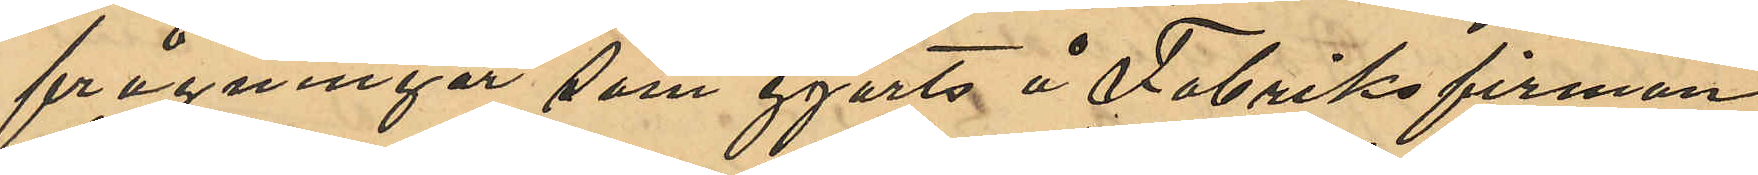frågningar som gjorts å Fabriksfirman
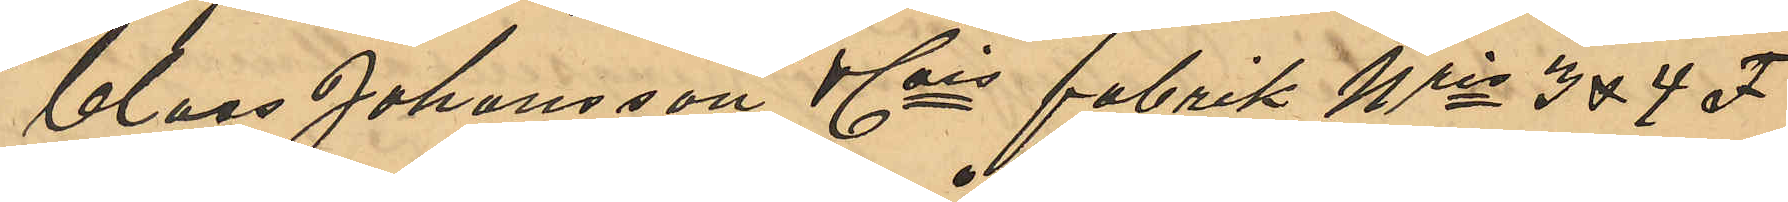Claes Johansson & Cois fabrik Nris 3 & 4 F
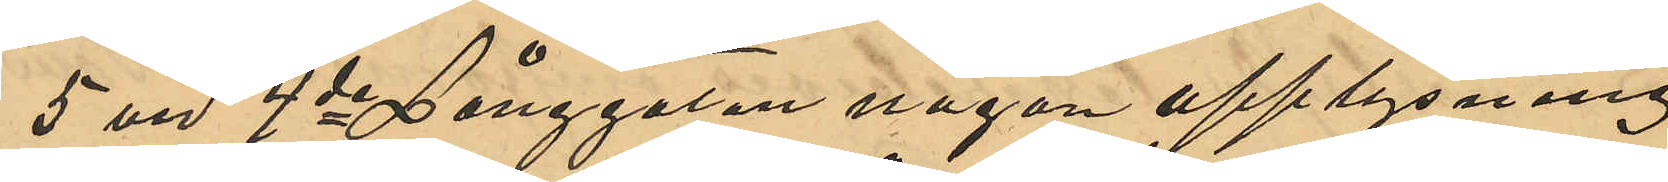5 vid 4de Långgatan någon upplysning
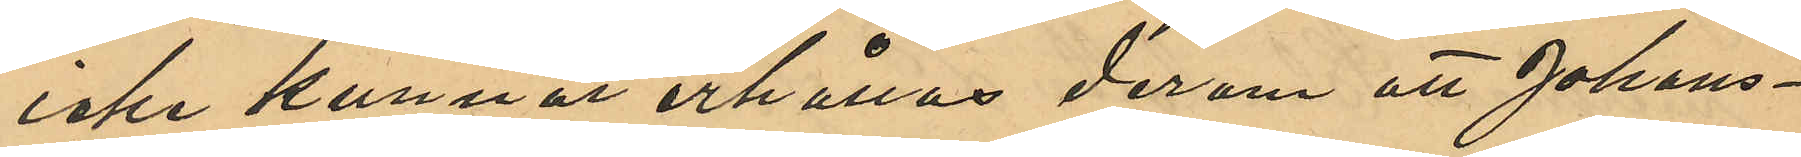icke kunnat erhållas derom att Johans¬
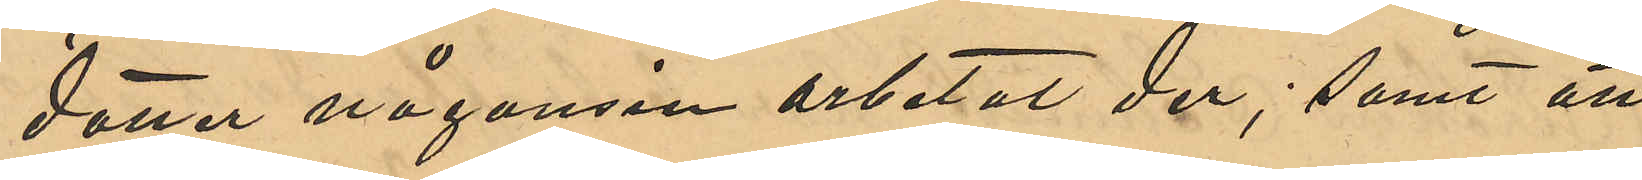dotter någonsin arbetat der; samt att
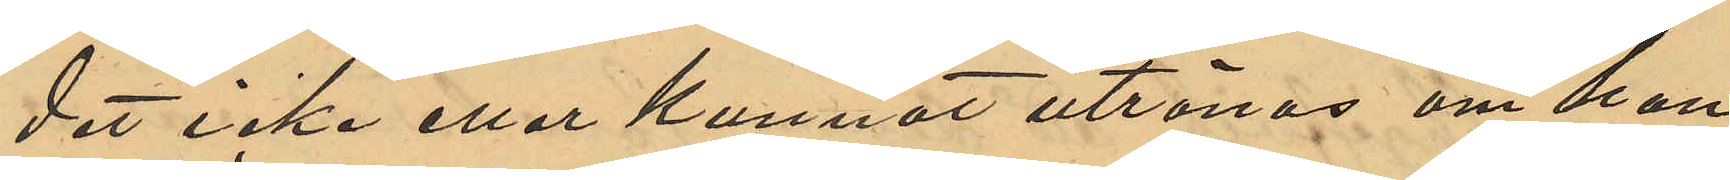det icke eller kunnat utrönas om hon
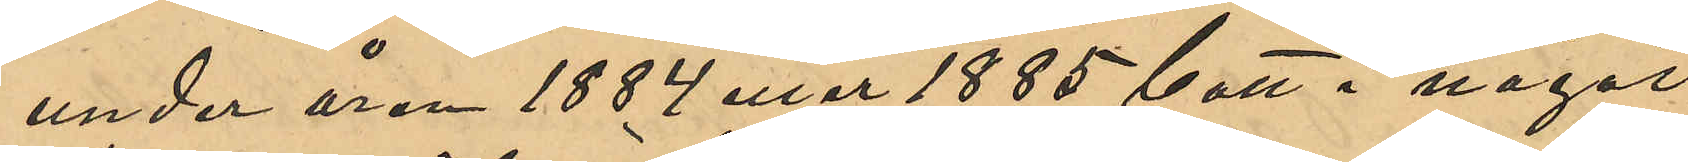under åren 1884 eller 1885 bott i något
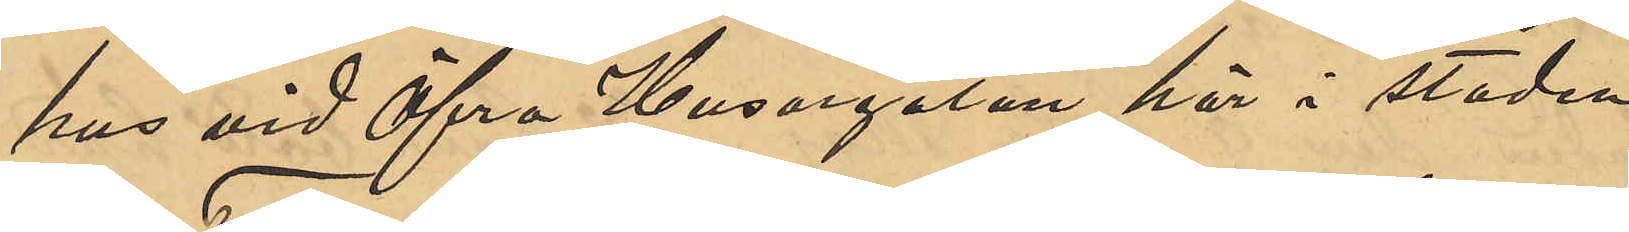hus vid Öfra Husargatan här i staden.
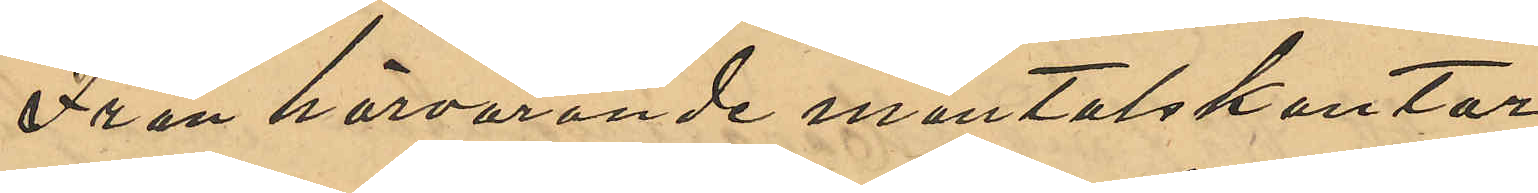Från härvarande mantalskontor
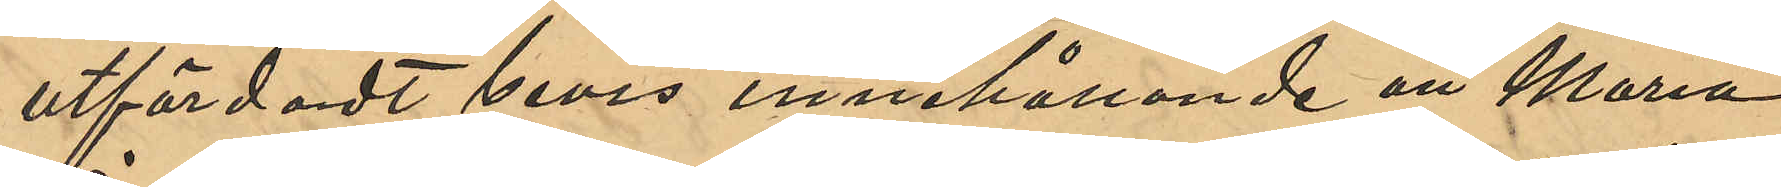utfärdadt bevis innehållande att Maria
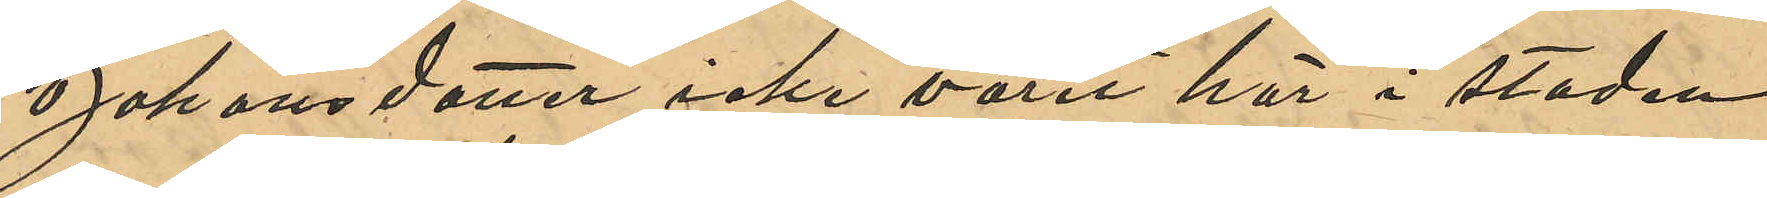Johansdotter icke varit här i staden
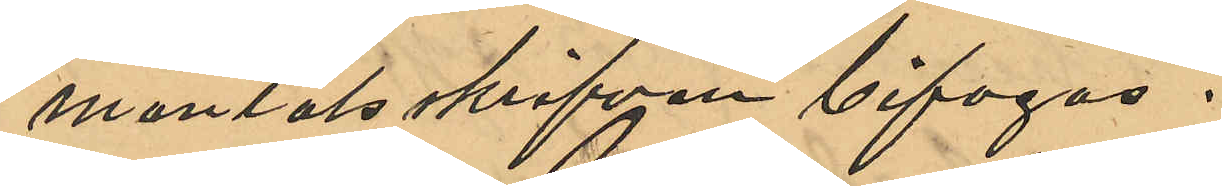mantalsskrifven bifogas.
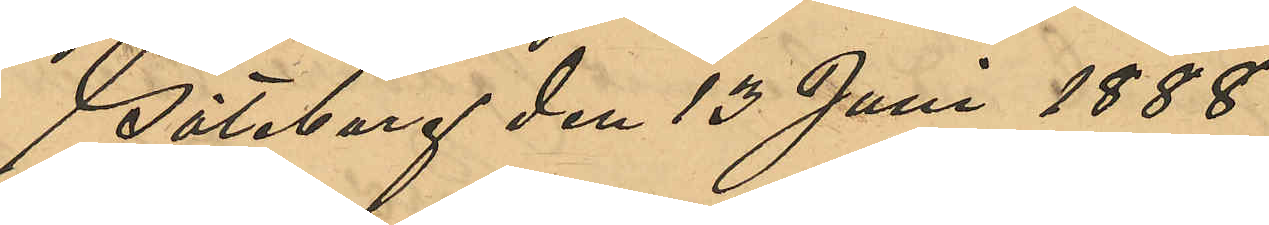Göteborg den 13 Juni 1888.
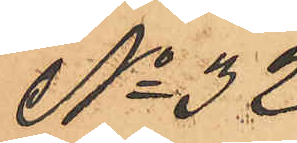No 32
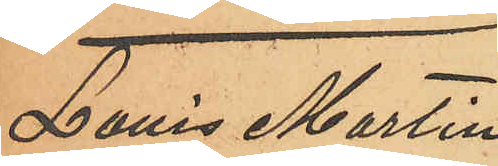Louis Martin
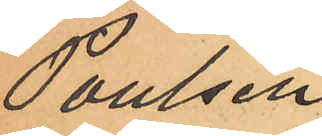Poulsen
